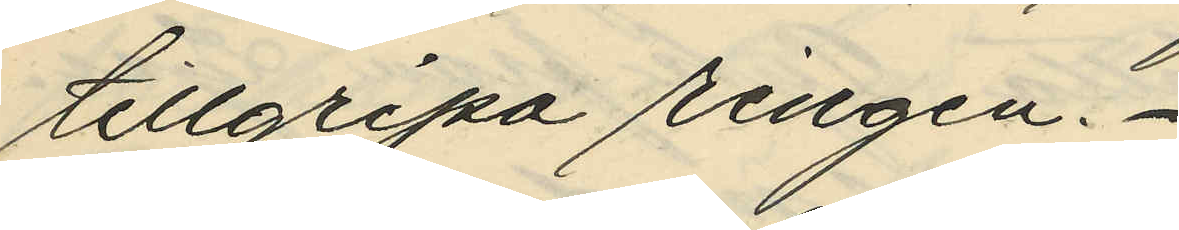tillgripa ringen.
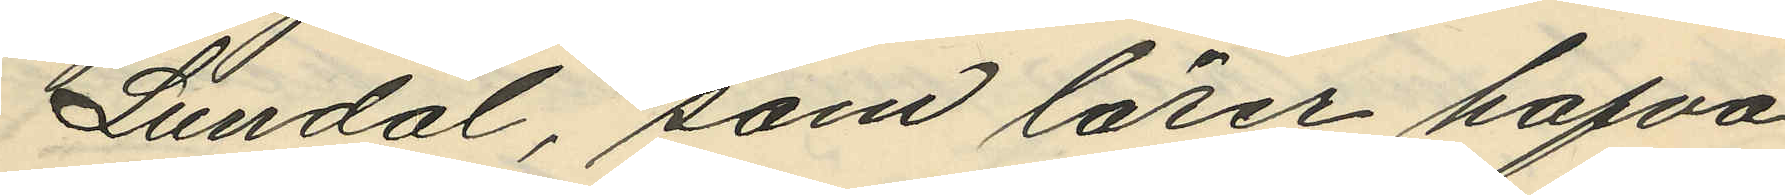Lundal, som lärer hafva
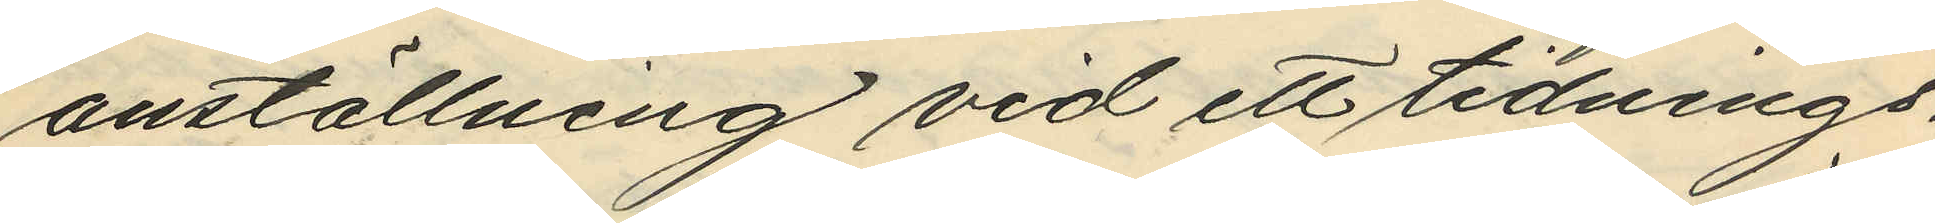anställning vid ett tidnings¬
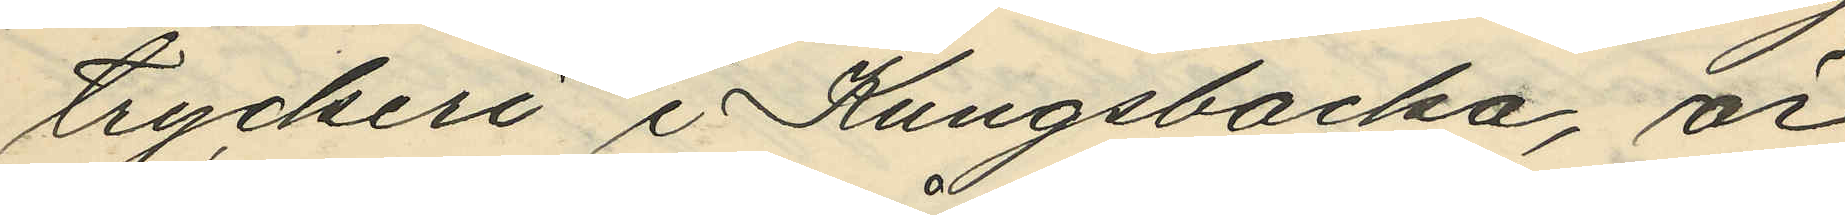tryckeri i Kungsbacka, är
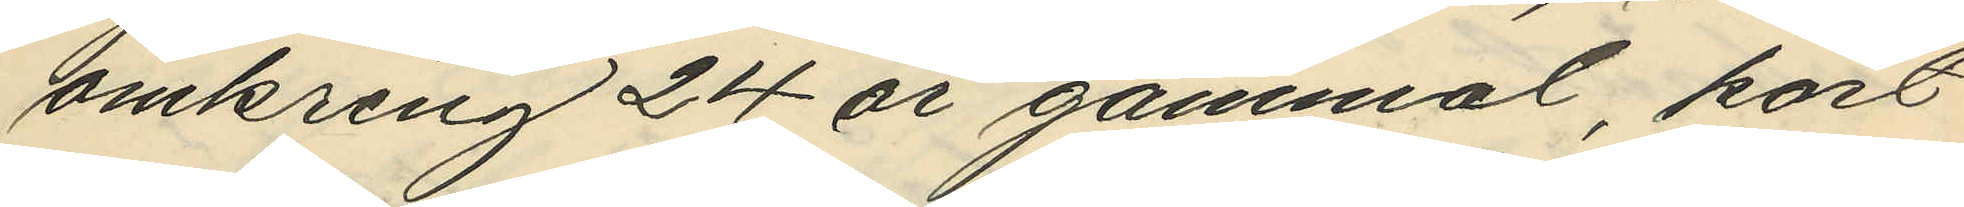omkring 24 år gammal, kort
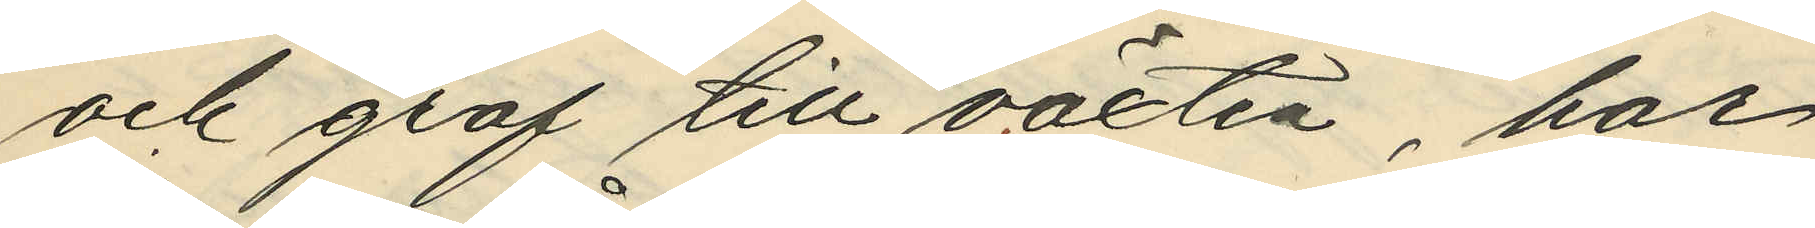och grof till växten, har
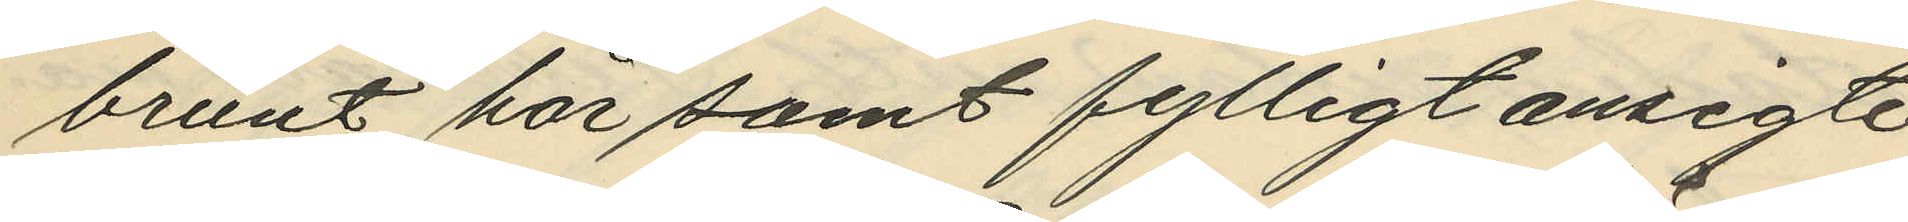brunt hår samt fylligt ansigte
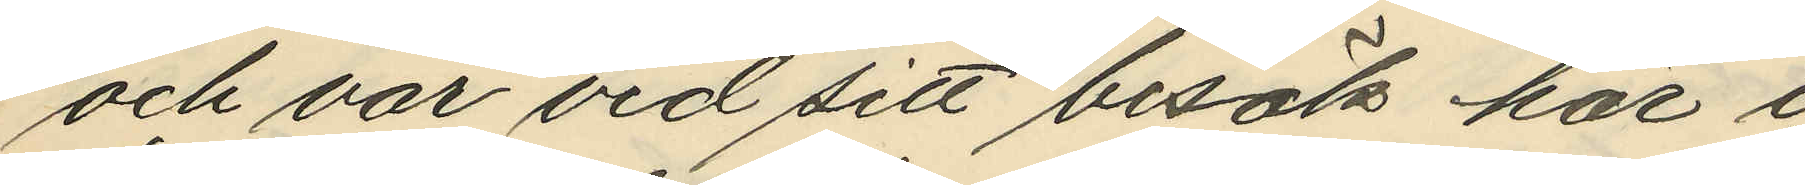och var vid sitt besök här i
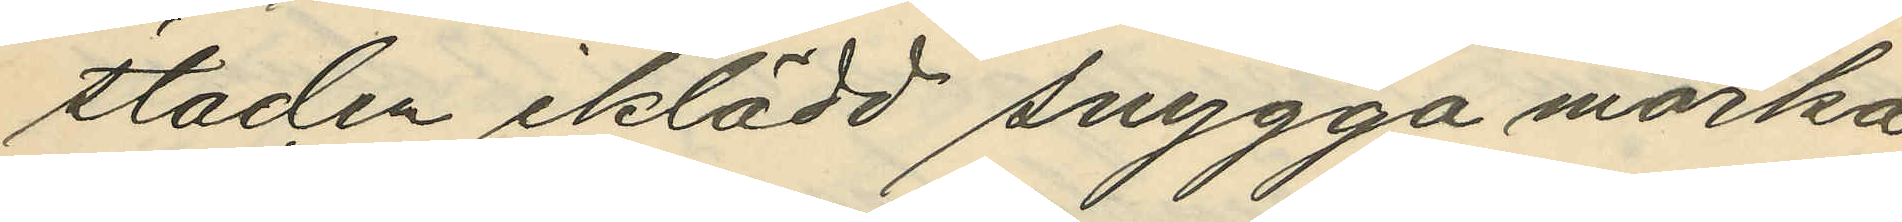staden iklädd snygga mörka
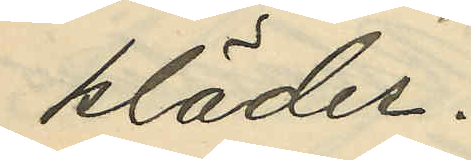kläder.
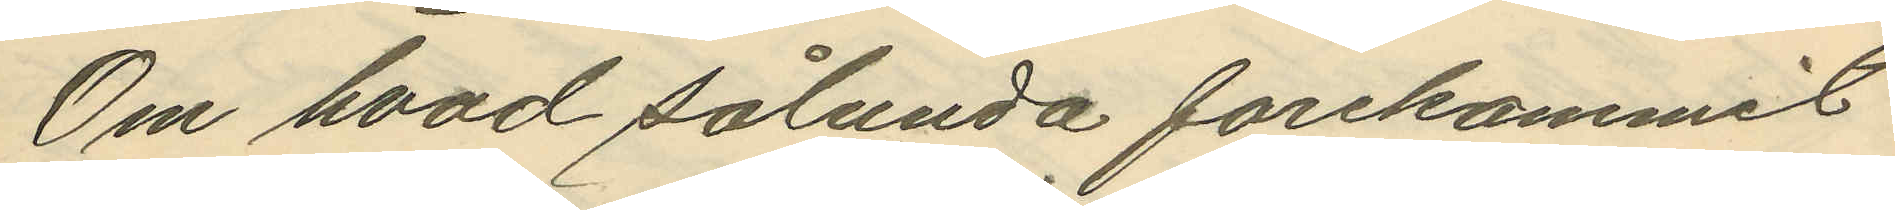Om hvad sålunda förekommit
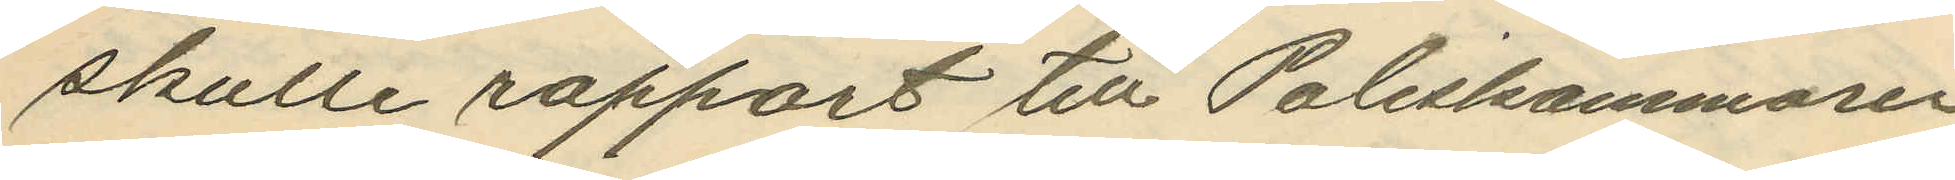skulle rapport till Poliskammarn
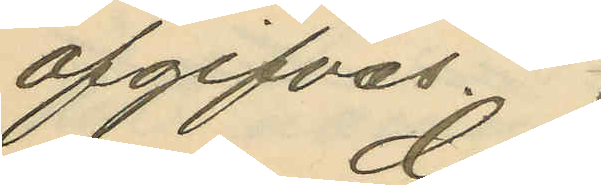afgifvas.
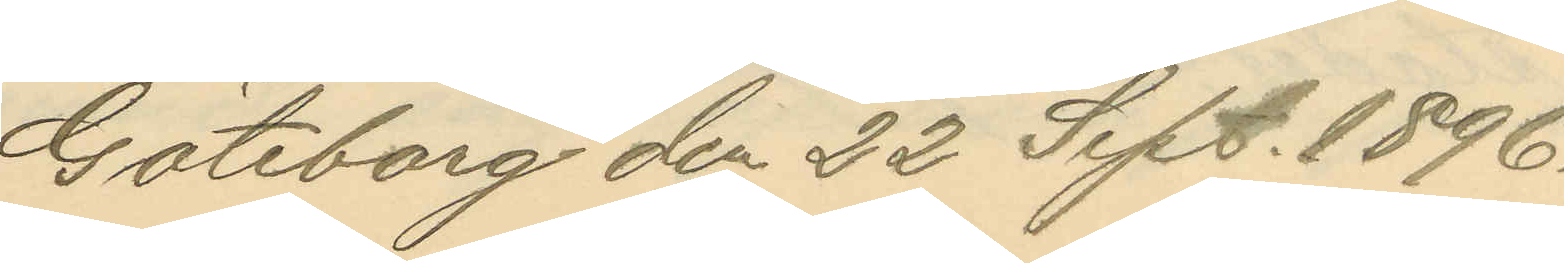Göteborg den 22 Sept. 1896.
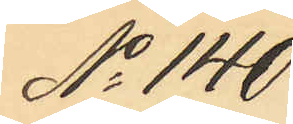No 140
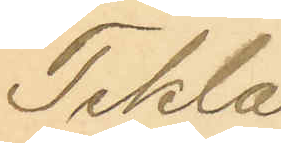Tekla
